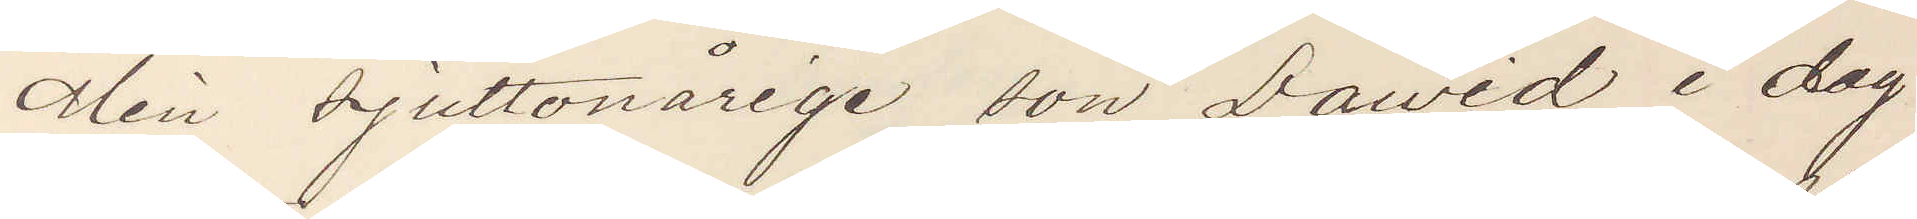Min sjuttonårige son Dawid i dag
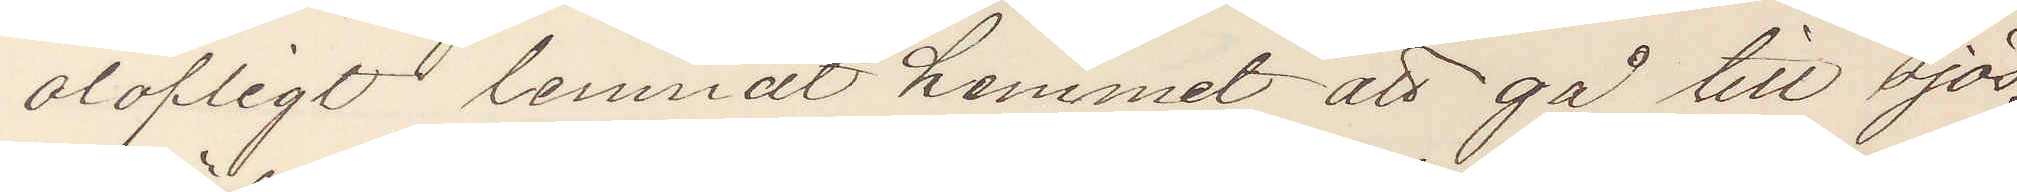olofligt lemnadt hemmet att gå till sjös,
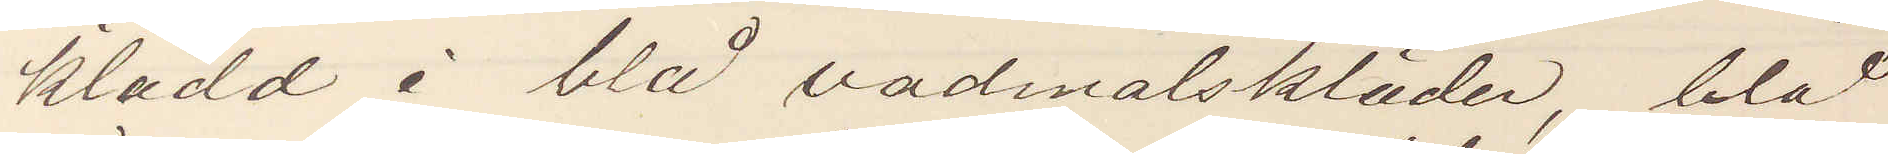klädd i blå vadmalskläder, blå
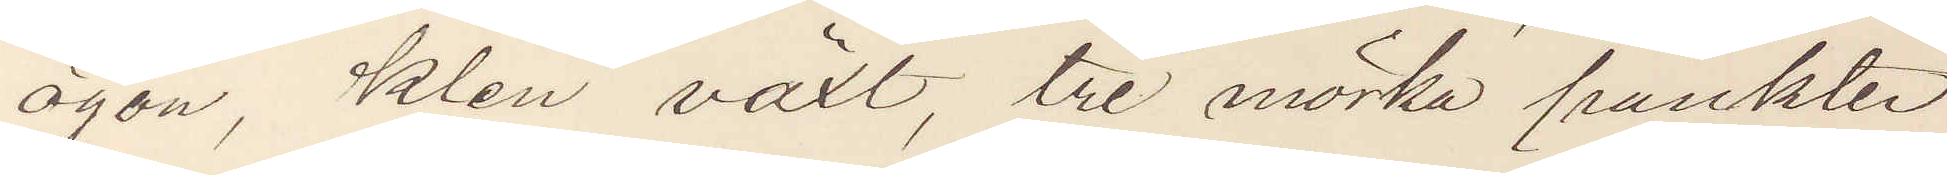ögon, klen växt, tre mörka punkter
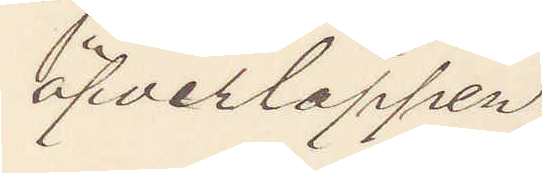öfverläppen.
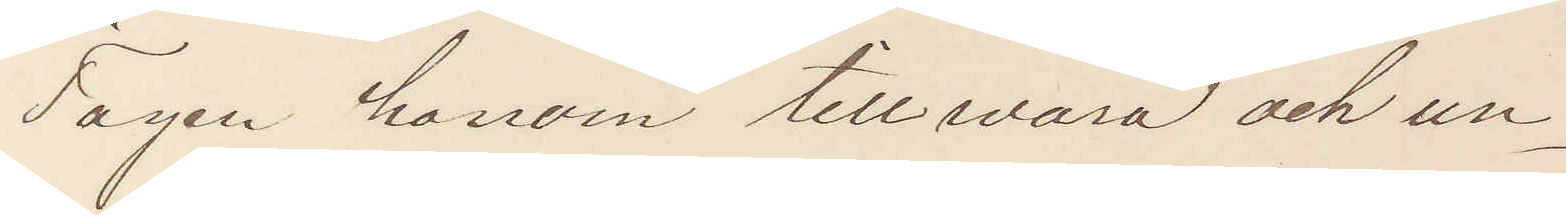Tagen honom tillwara och un¬
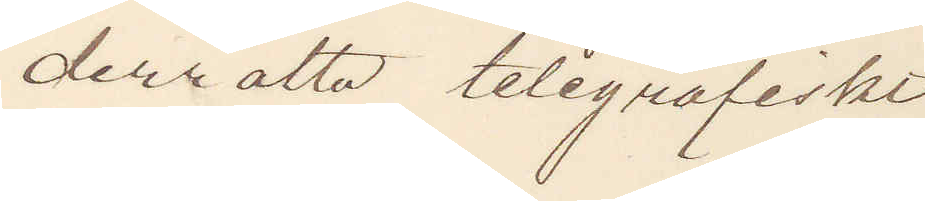derrätta telegrafiskt
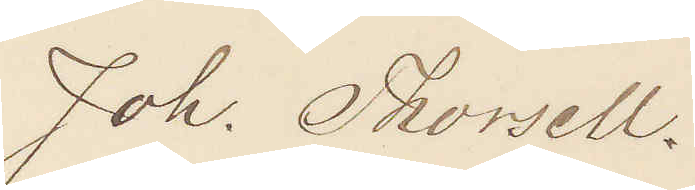Joh. Thorsell.
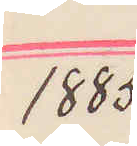1885
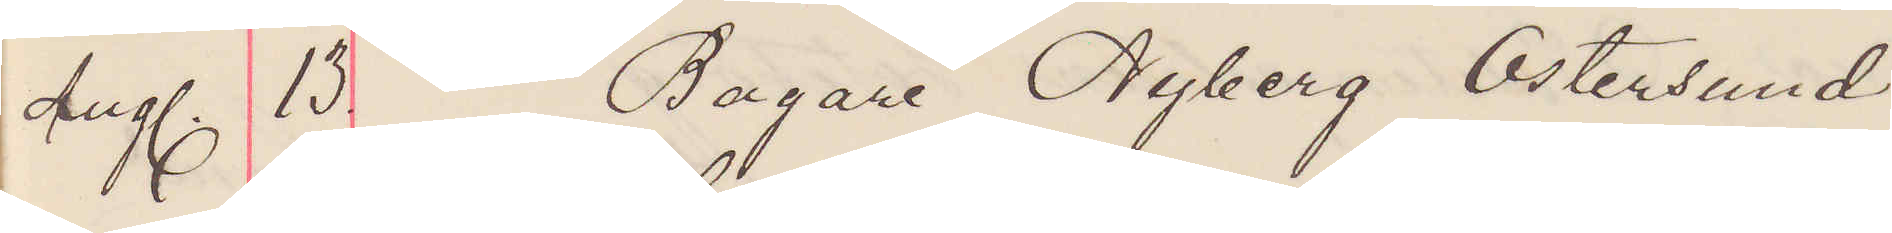Aug. 13. Bagare Nyberg Östersund.
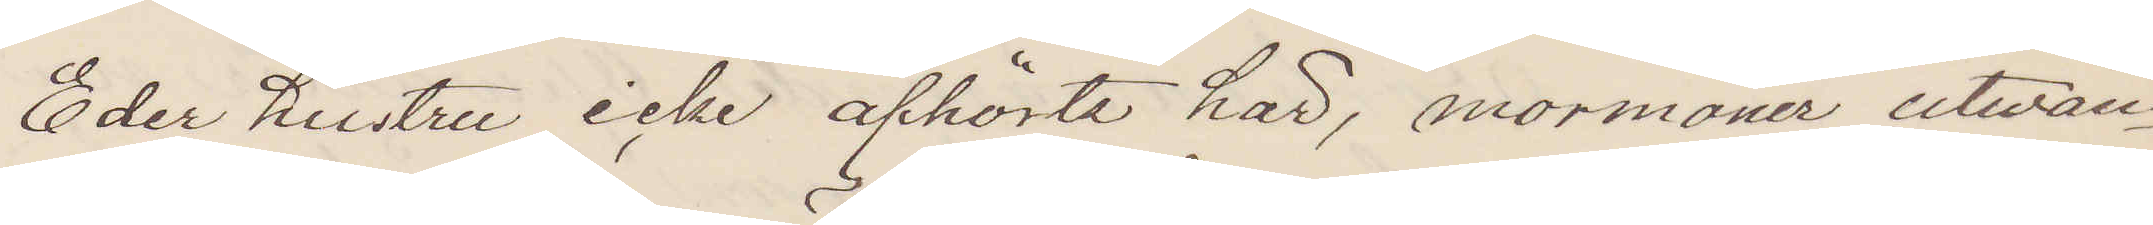Eder hustru icke afhörts här, mormoner utwan¬
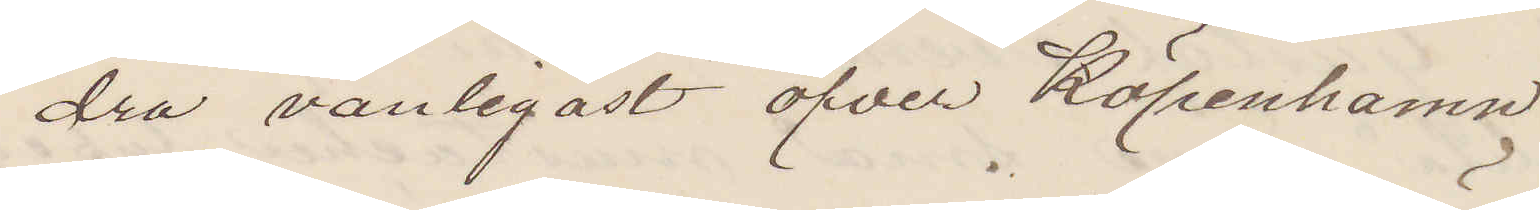dra vanligast öfver Köpenhamn.
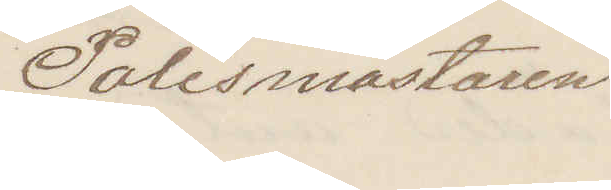Polismästaren.
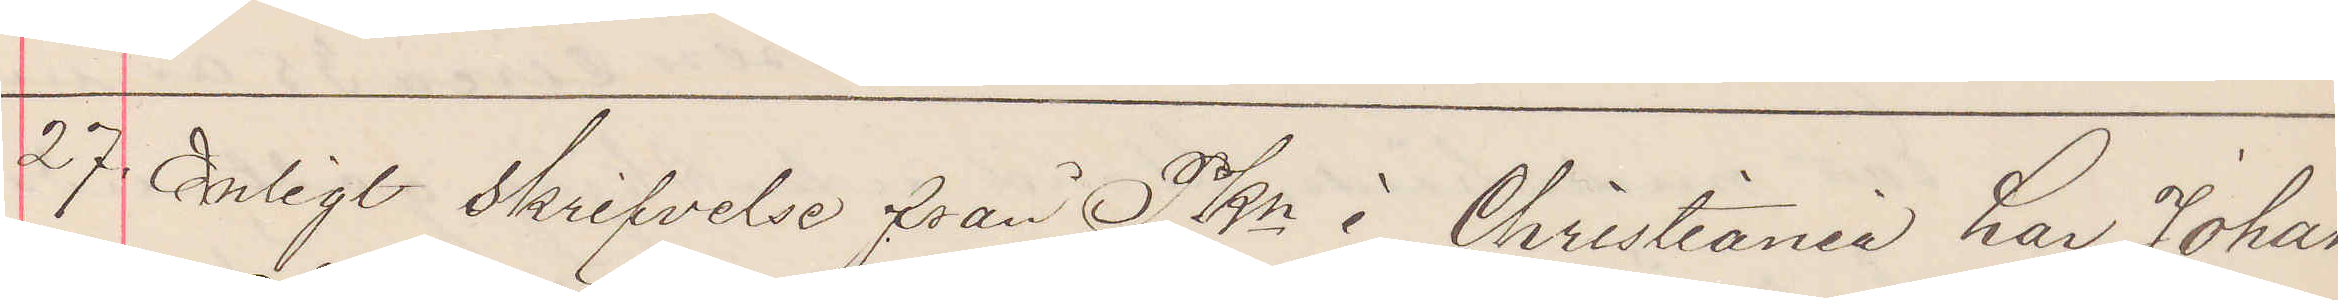27. Enligt skrifvelse från PKn i Christiania har Johan
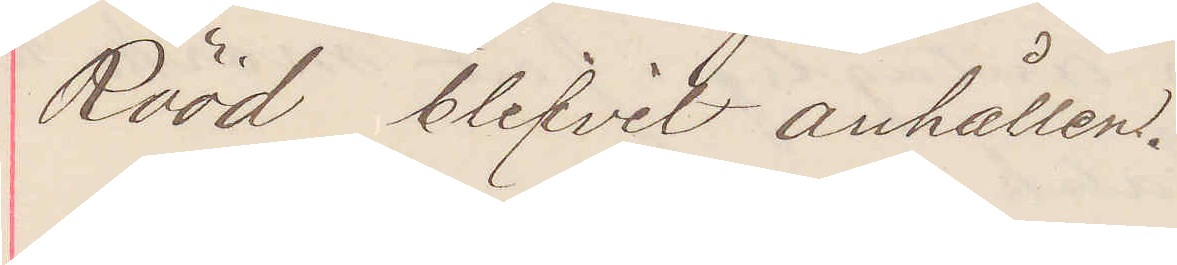Rööd blifvit anhållen.
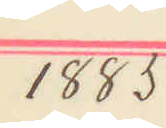1885
